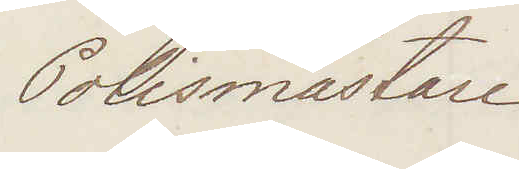Polismästare
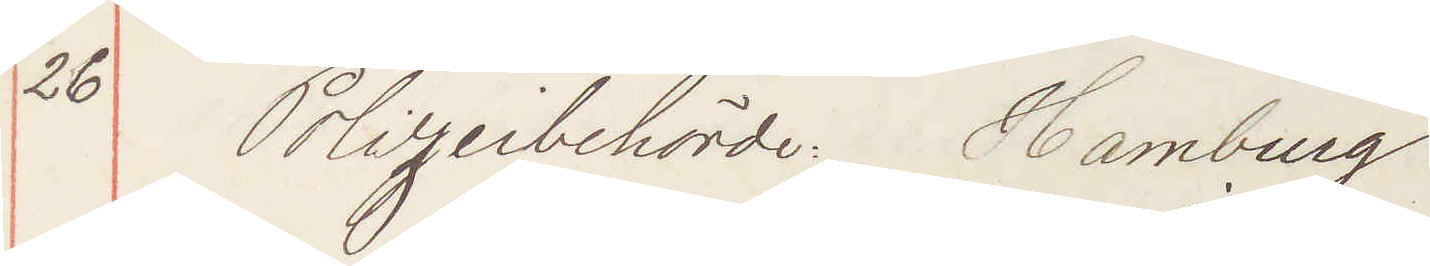26 Polizeibehörde Hamburg
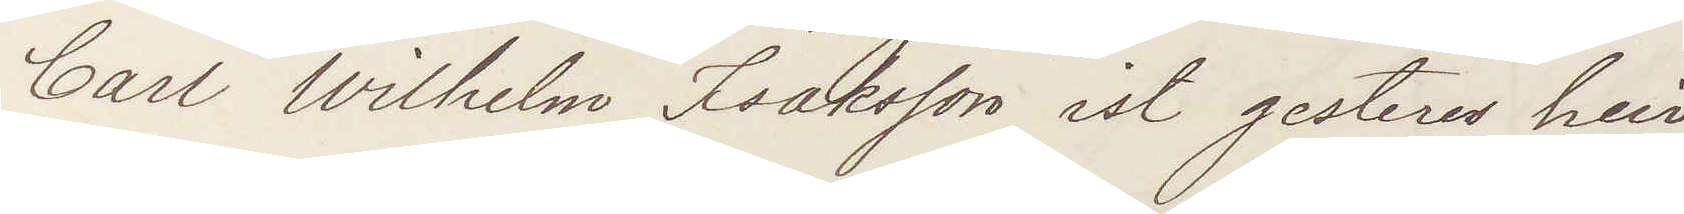Carl Wilhelm Isaksson ist gestern hier
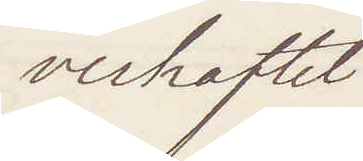verhaftet
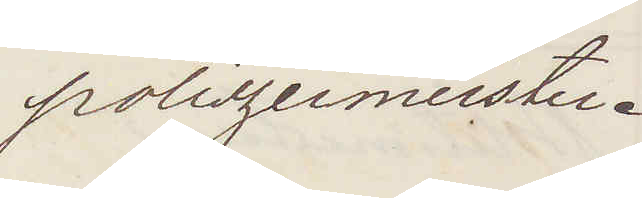Polizeimeister.
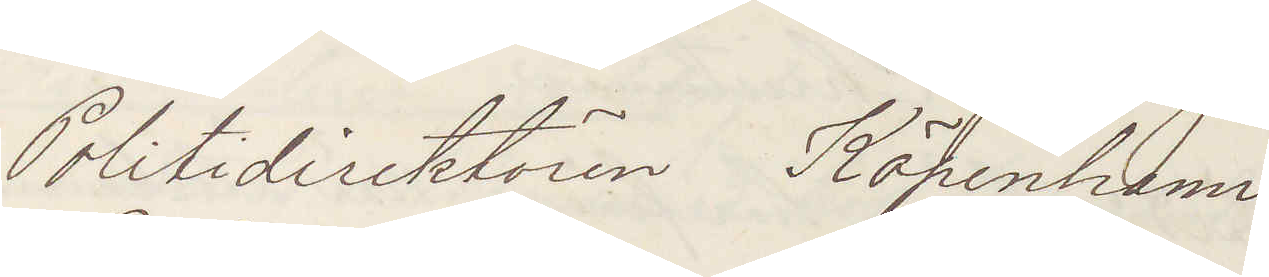Politidirektören Köpenhamn
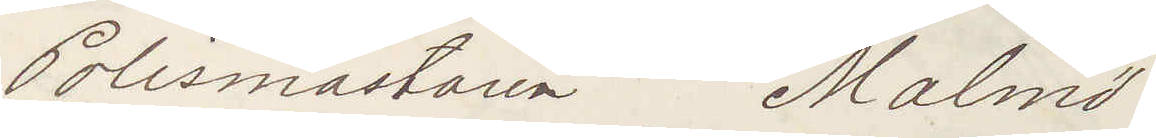Polismästaren Malmö
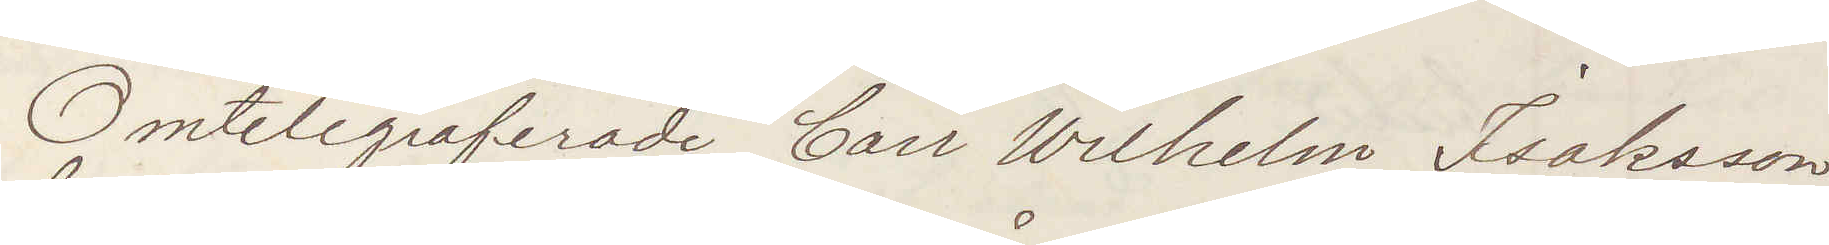Omtelegraferade Carl Wilhelm Isaksson
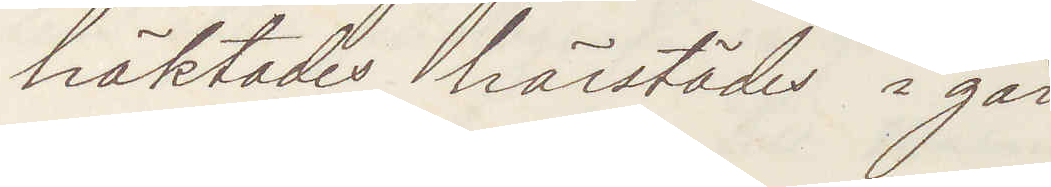häktades härstädes i går
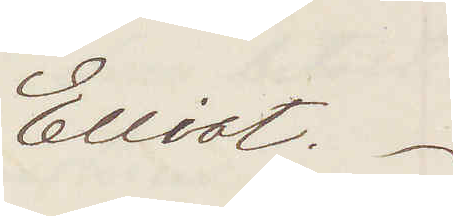Elliot.
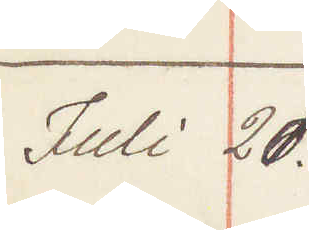Juli 21.
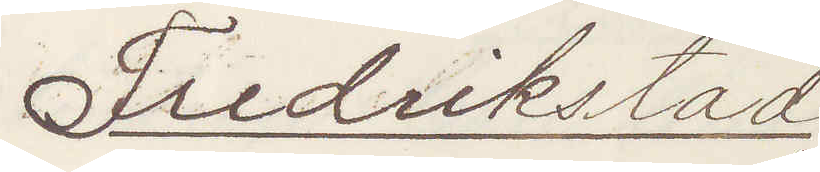Fredrikstad
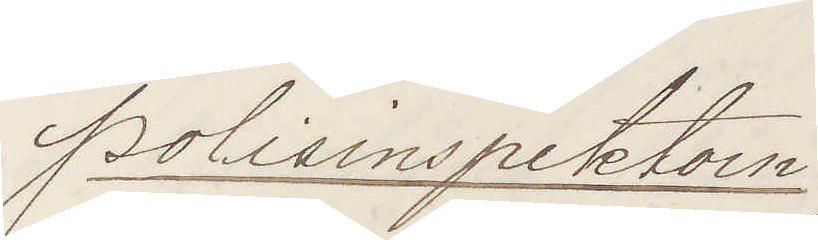Polisinspektorn
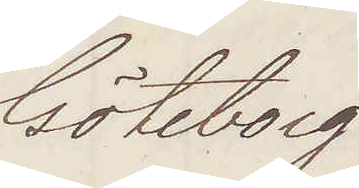Göteborg
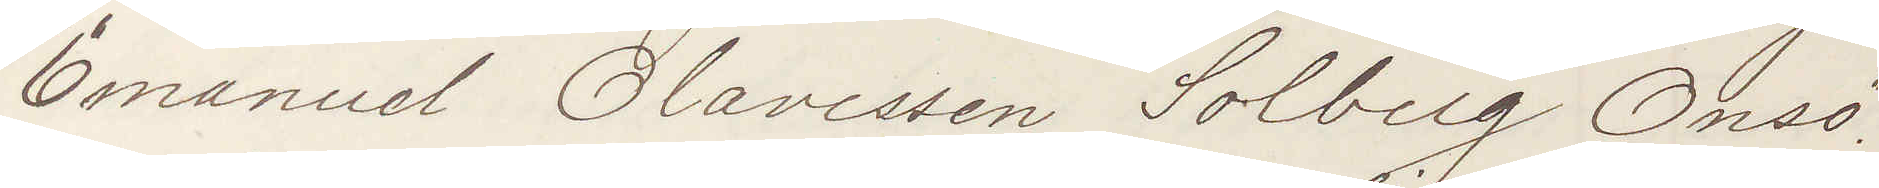Emanuel Olavessen Solberg Onsö
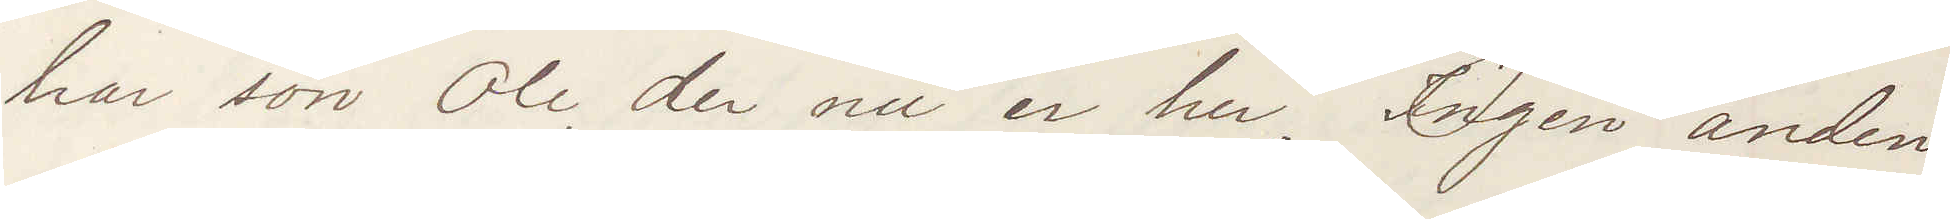har sön Ole, der nu er her. Ingen anden
